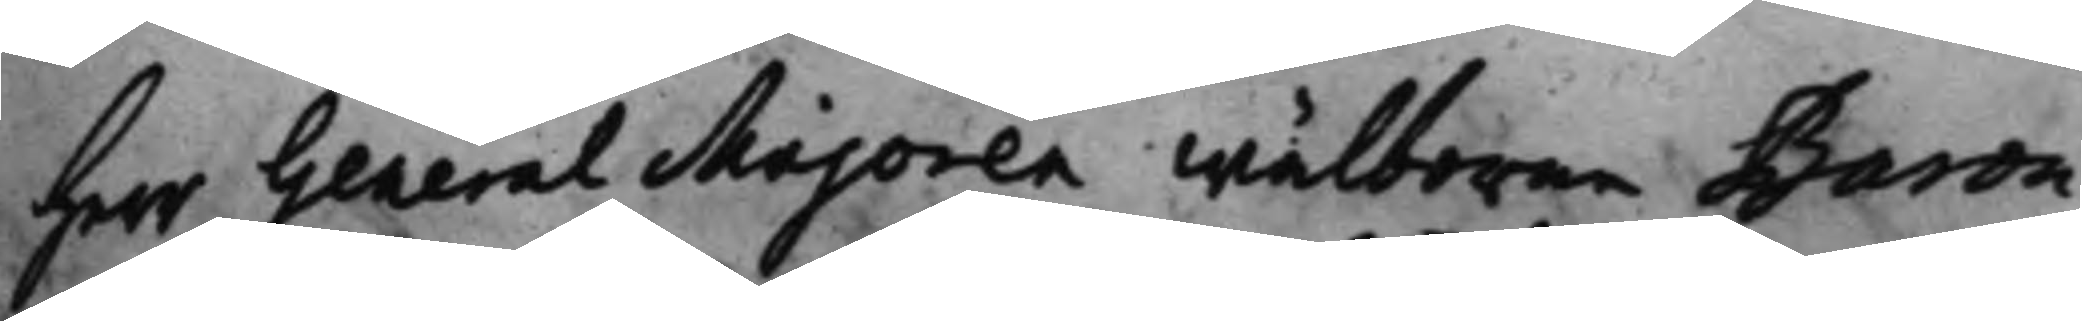Herr General Majoren Wälborne Baron
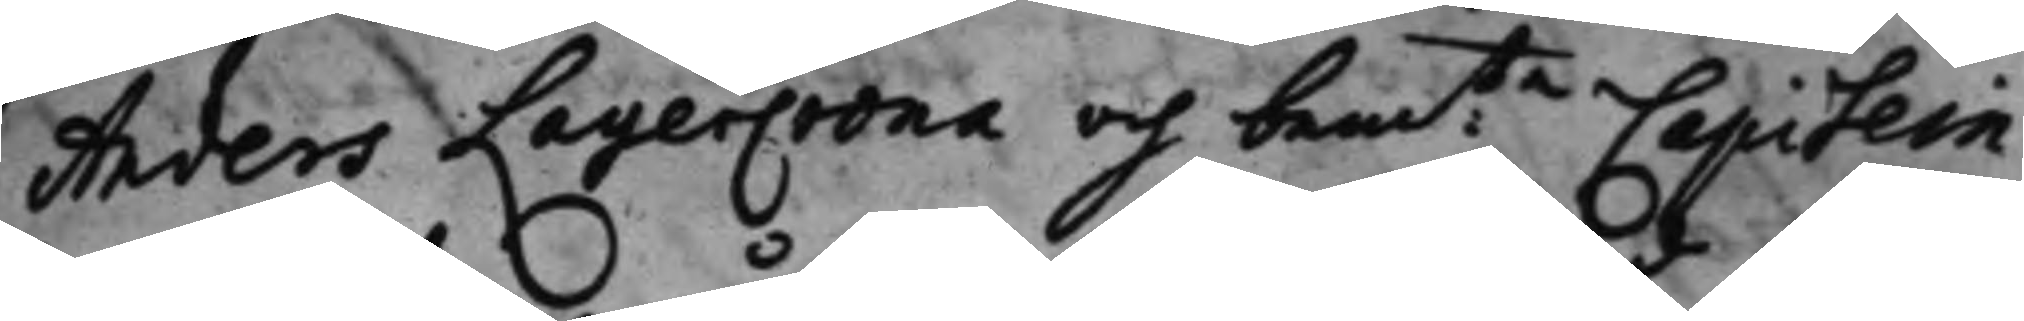Anders LagerCrona och bemte Capitein 
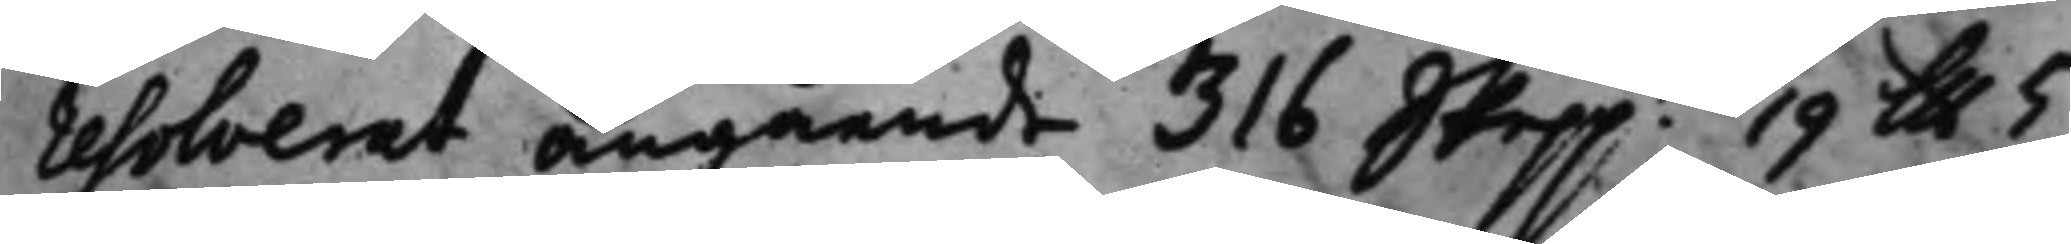resolverat, angående 316 Skeppd 19 Llb 5 
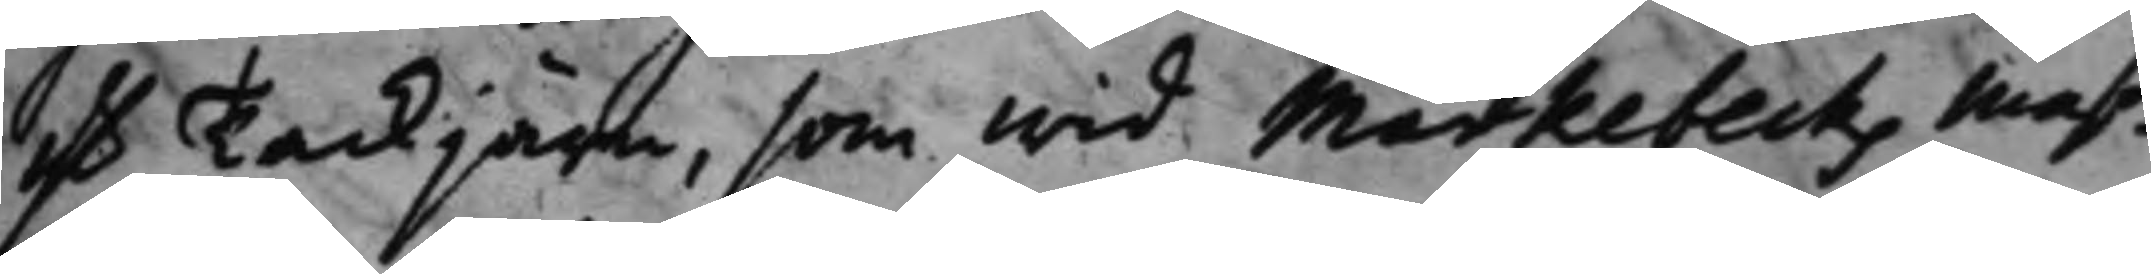lb Tackjärn, som wid Markebecks Maß¬
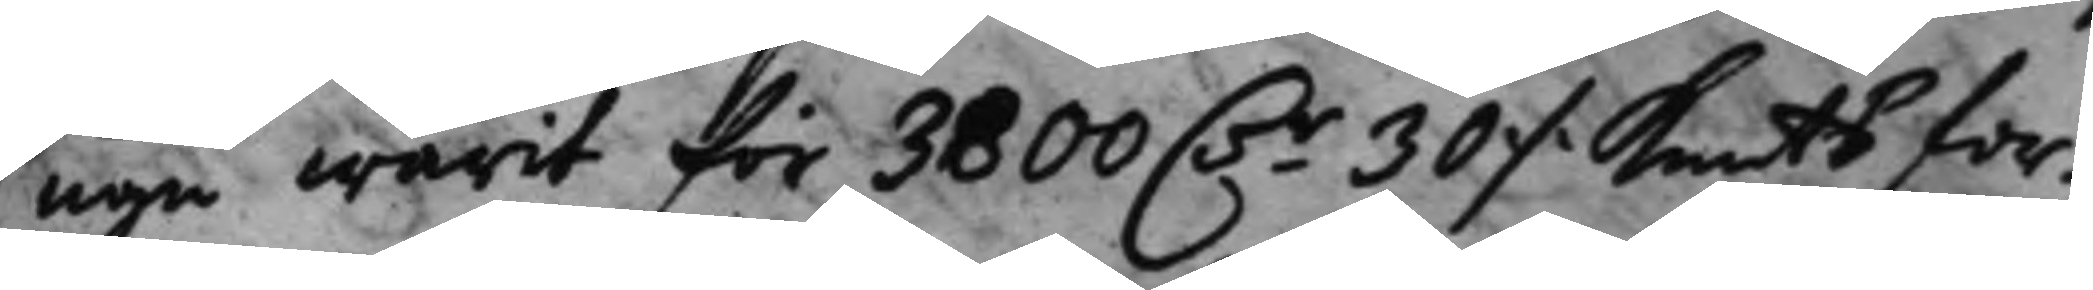ugn warit för 3800 D.r 30 ./. Kmts for¬ 
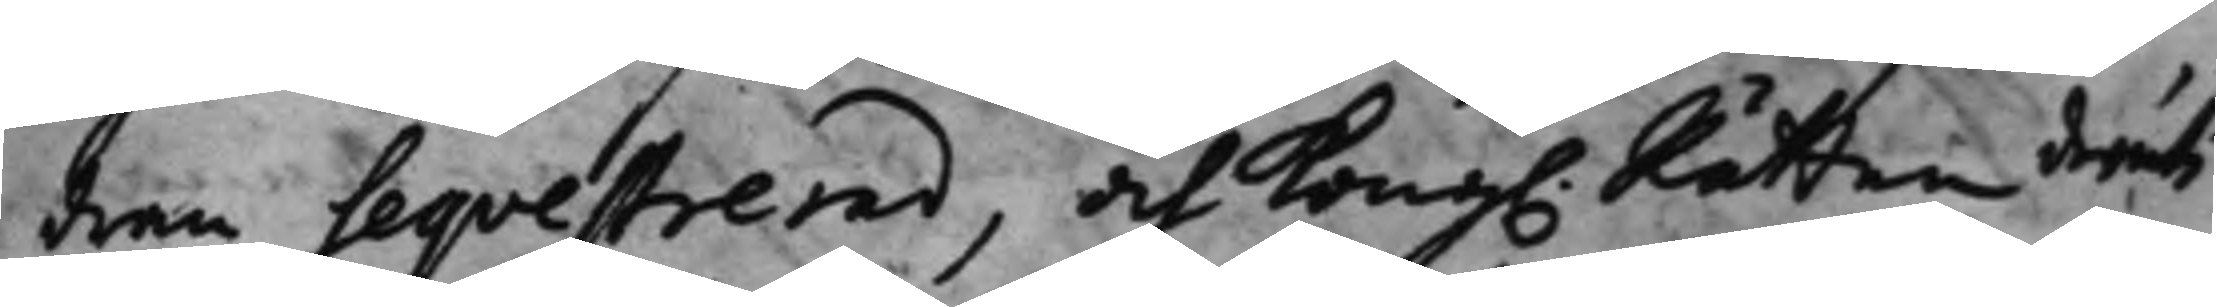dran Seqvestrerad, och Kong. Rätten deruti
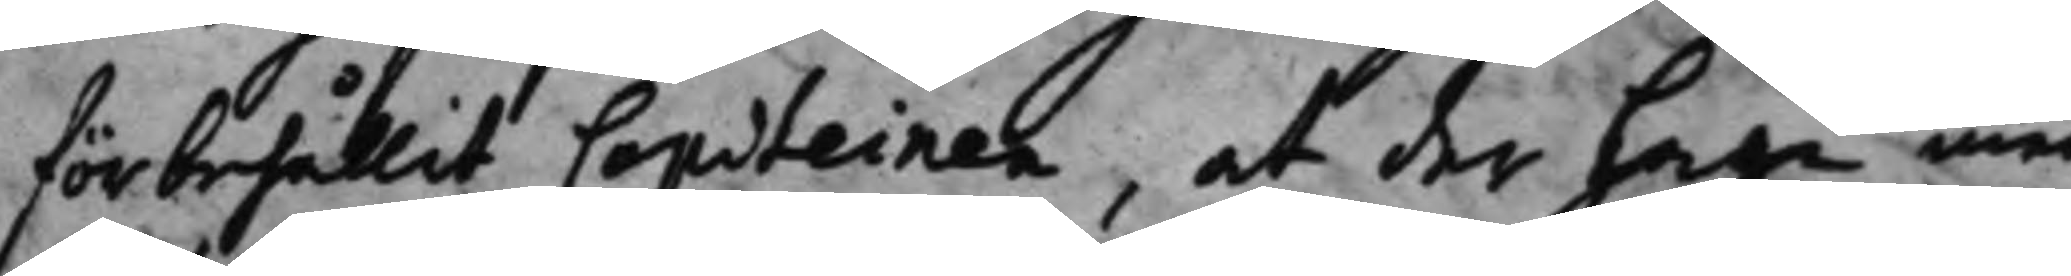förbehållit Capiteinen, at der haga med
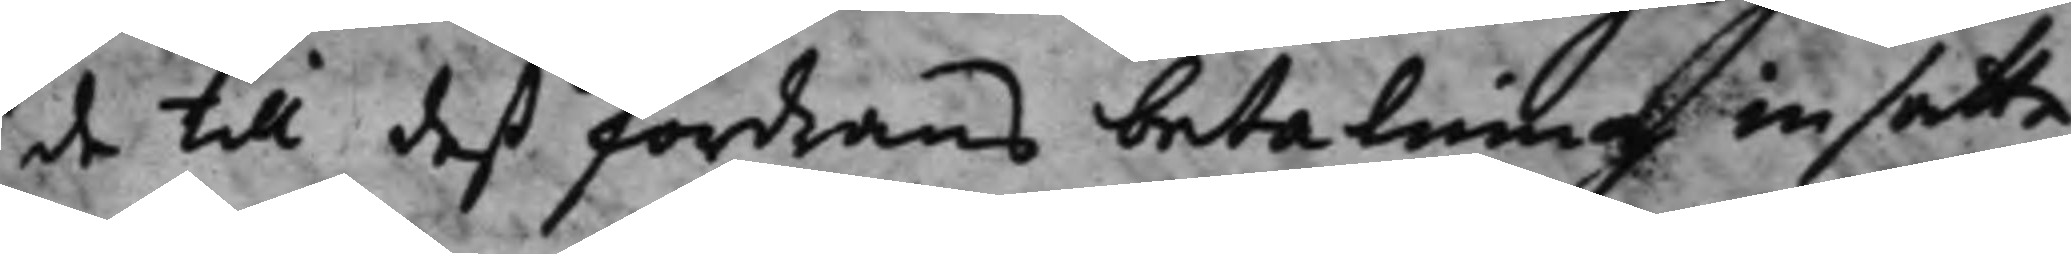de till deß fordrans betalning insatte
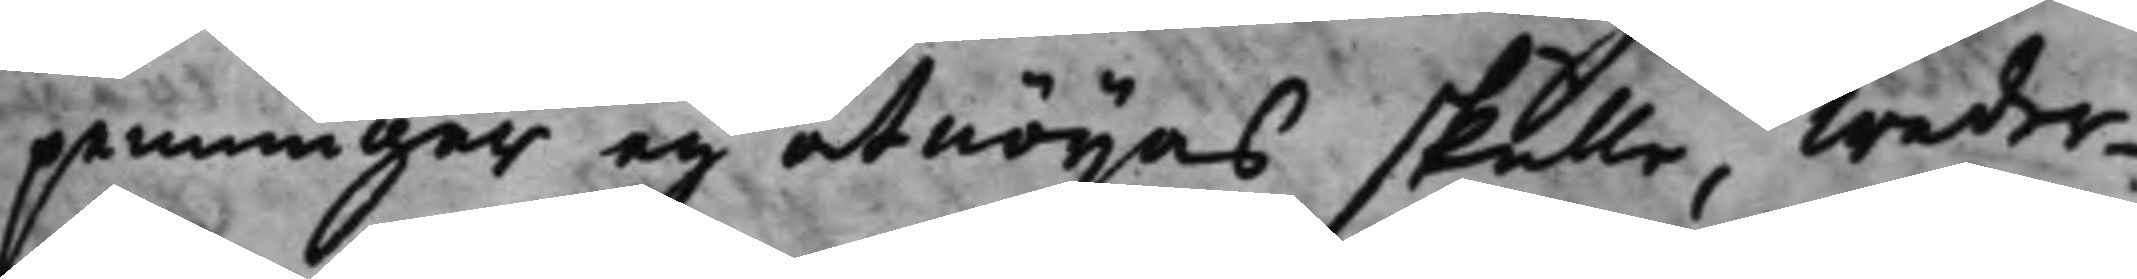penningar eij åtnöjas skulle, weder¬
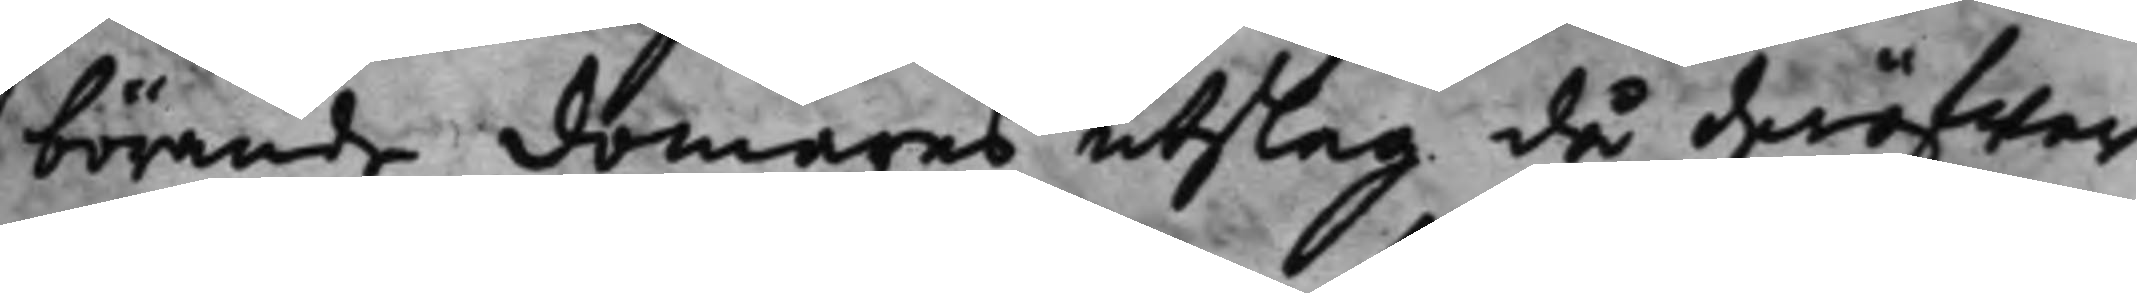börande domares utslag då deröfwer
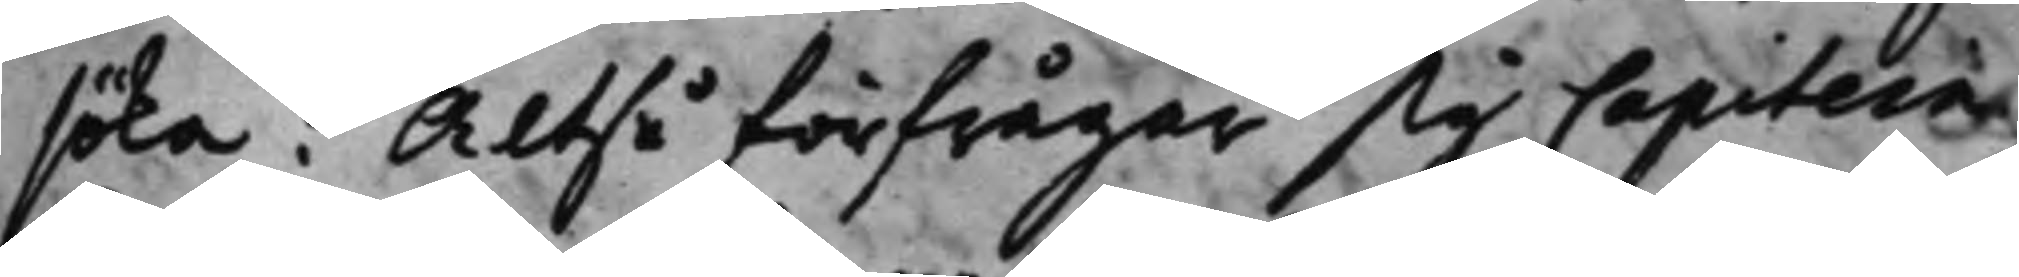söka; Altså förfrågar sig Capitein
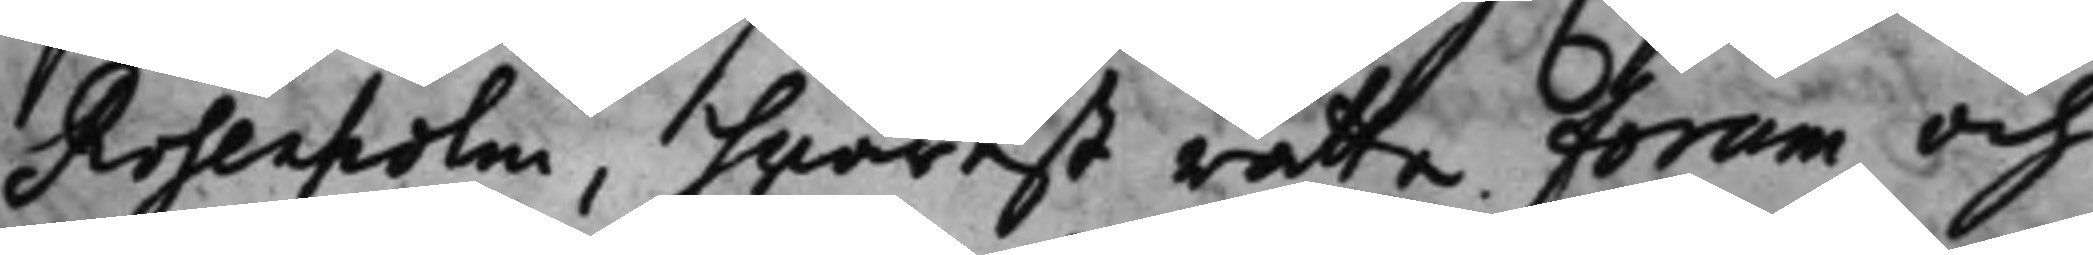Rosenholm, hwarest rätta forum och
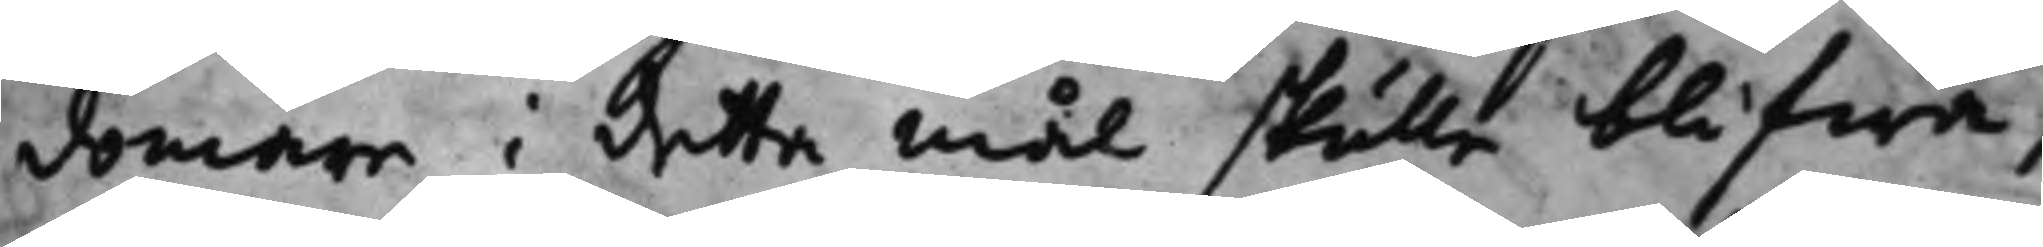domare i detta mål skulle blifwa,
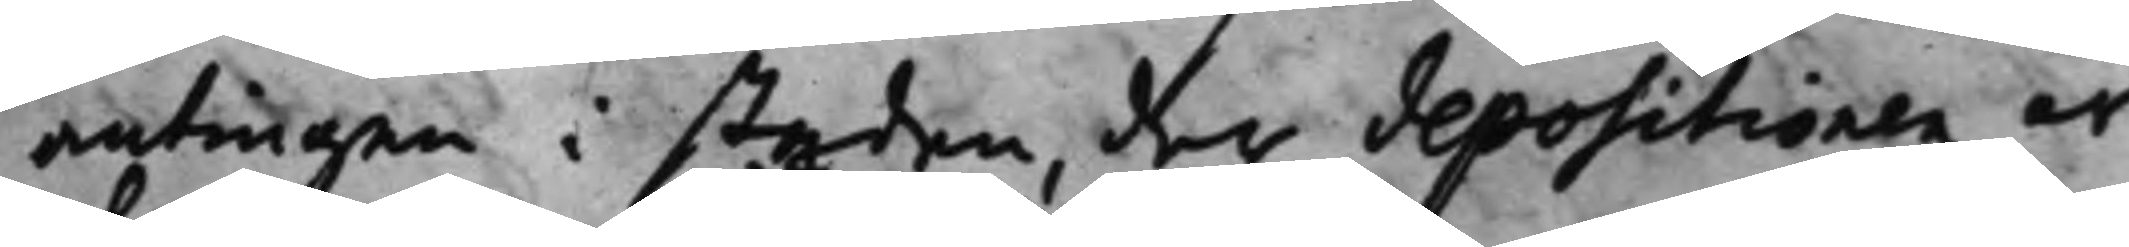antingen i staden, der depositionen är
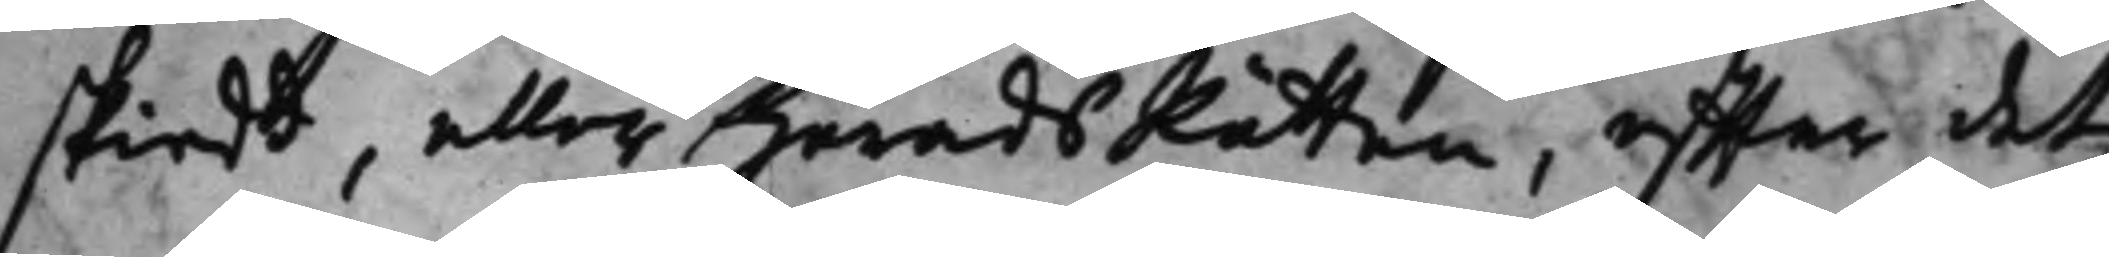skiedt, eller HäradsRätten, effter det
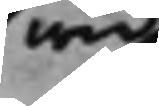wid
